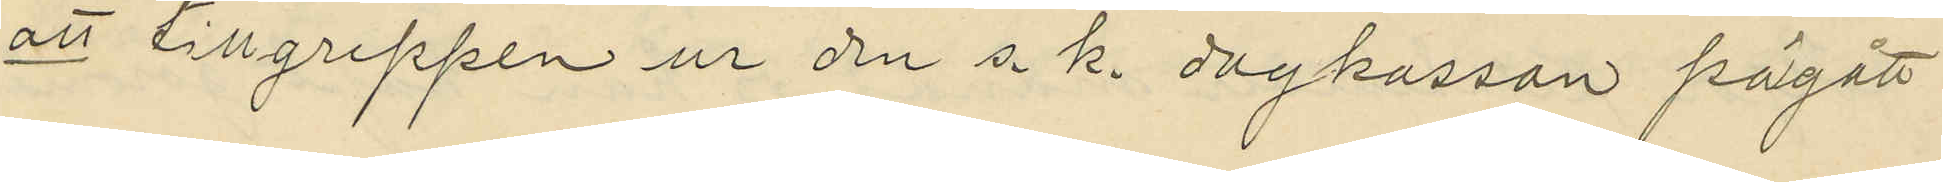att tillgreppen ur den s. k. dagkassan pågått
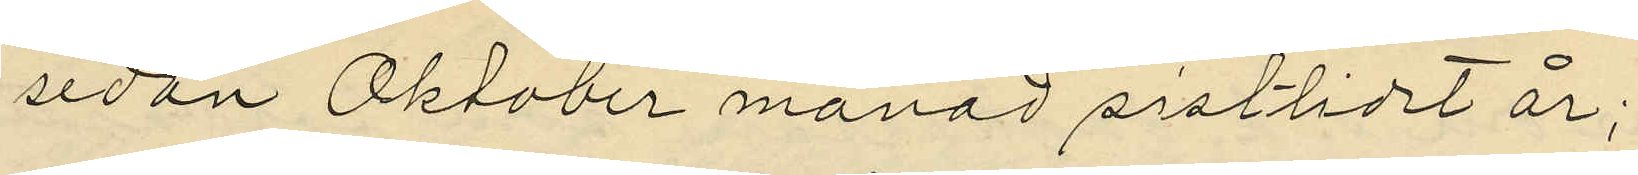sedan Oktober månad sistlidet år;
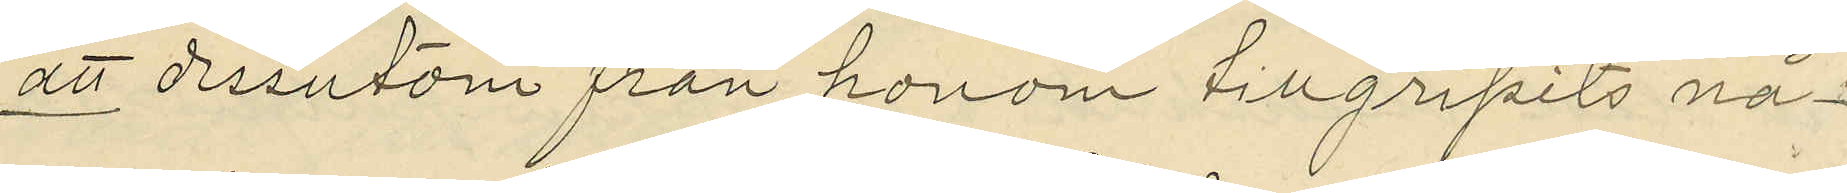att dessutom från honom tillgripits nå¬
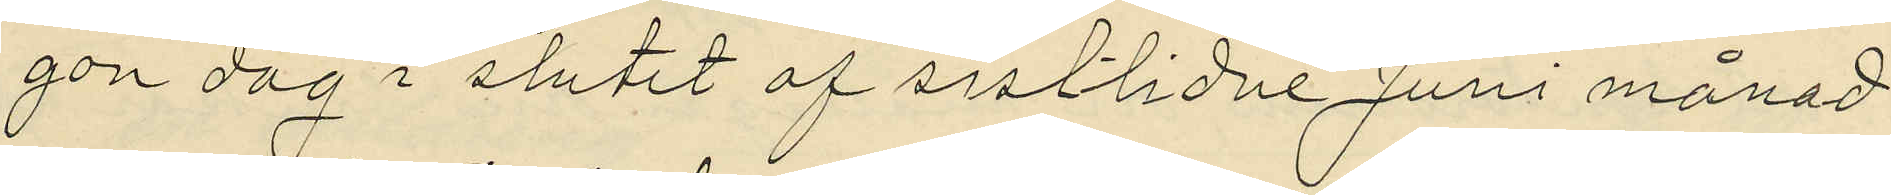gon dag i slutet af sistlidne Juni månad
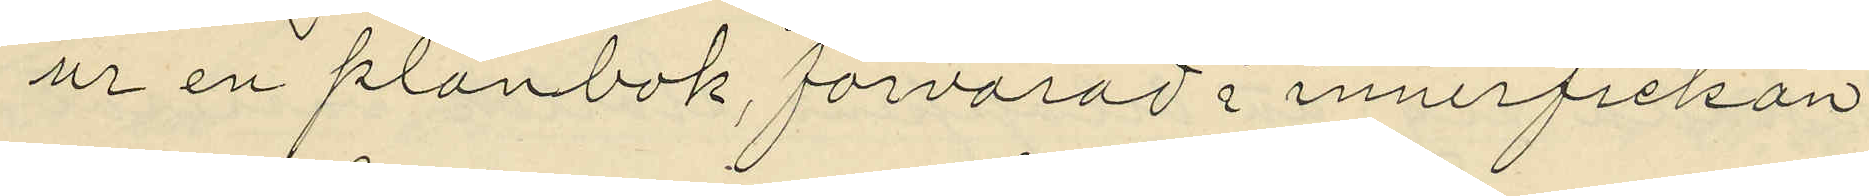ur en plånbok, förvarad i innerfickan
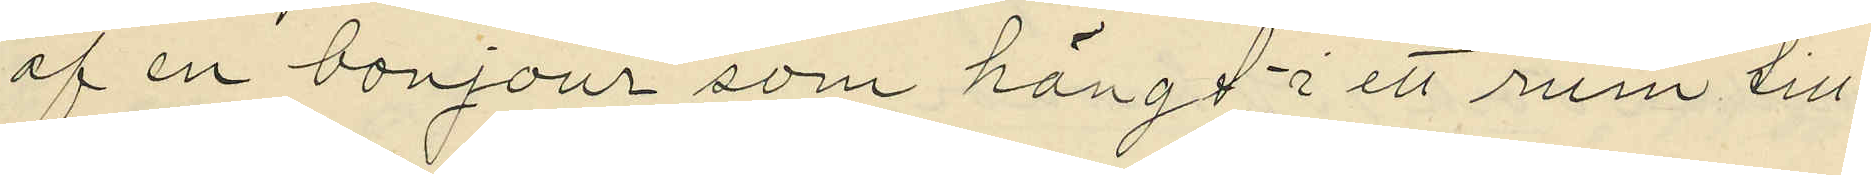af en bonjour som hängt i ett rum till
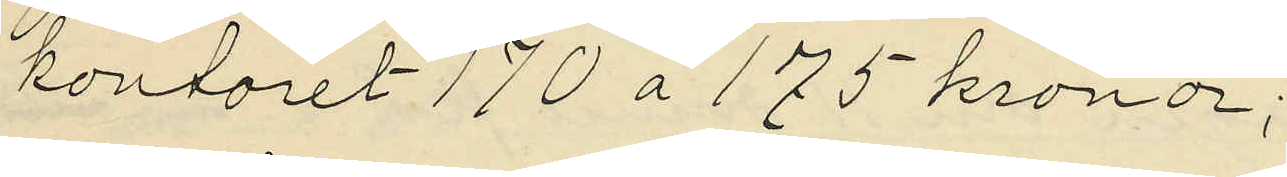kontoret 170 à 175 kronor;
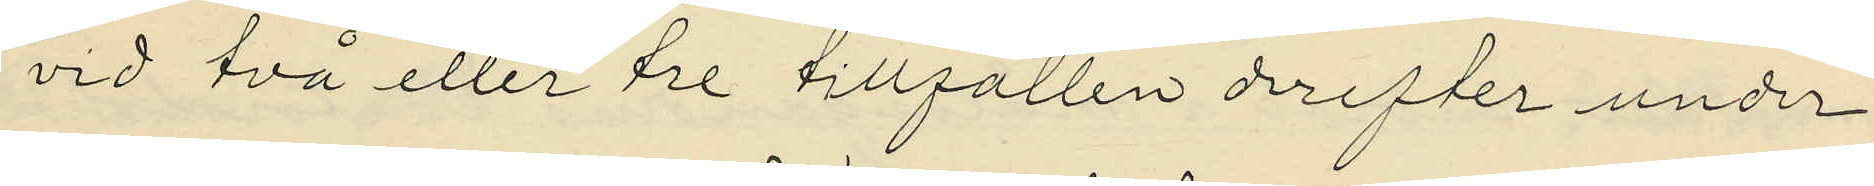vid två eller tre tillfällen derefter under
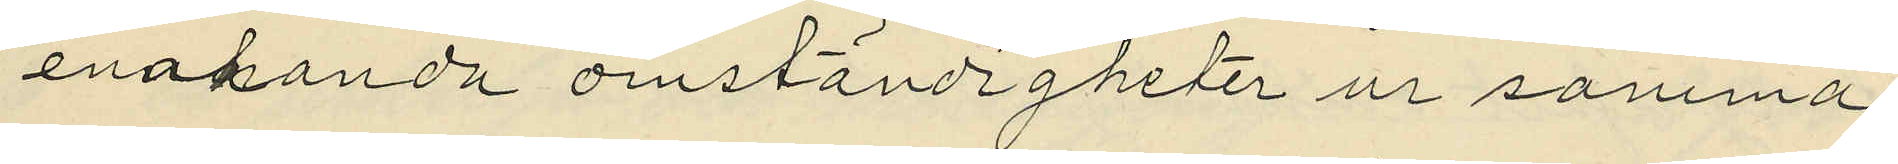enahanda omständigheter ur samma
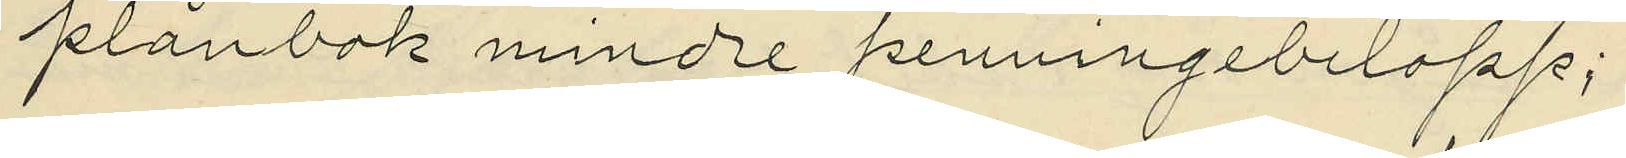plånbok mindre penningebelopp;
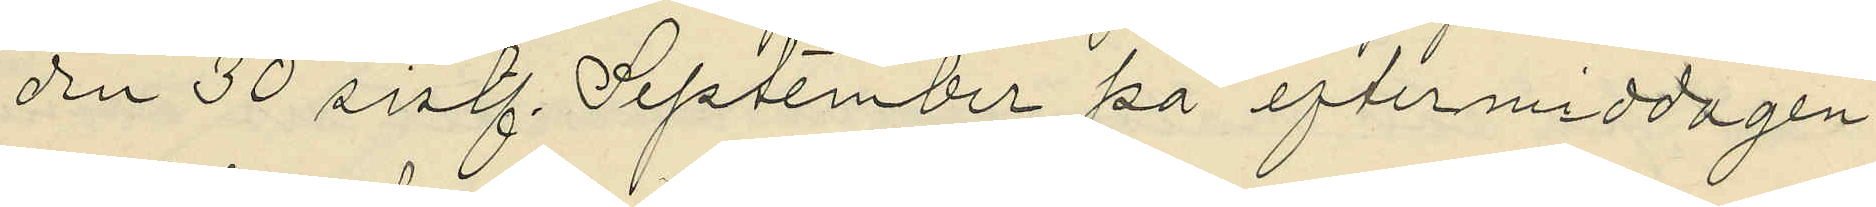den 30 sistl. September på eftermiddagen
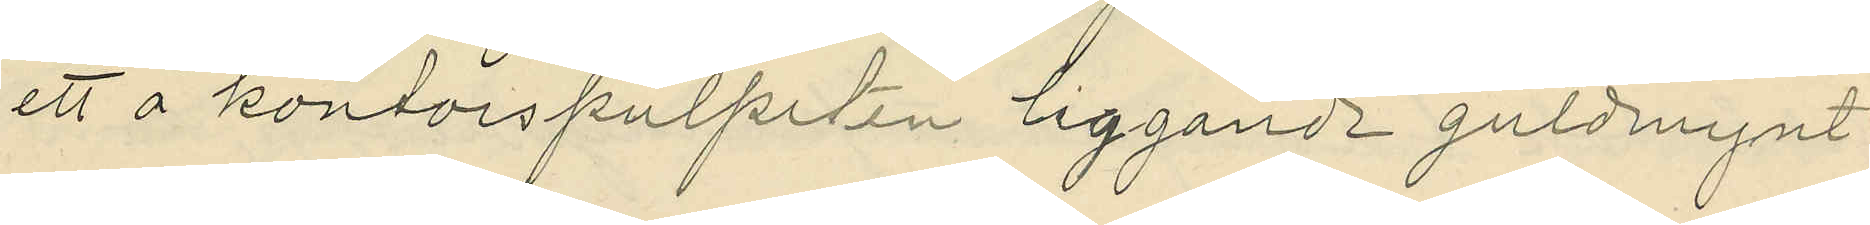ett å kontorspulpeten liggande guldmynt
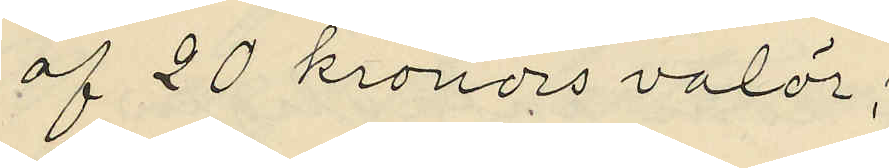af 20 kronors valör;
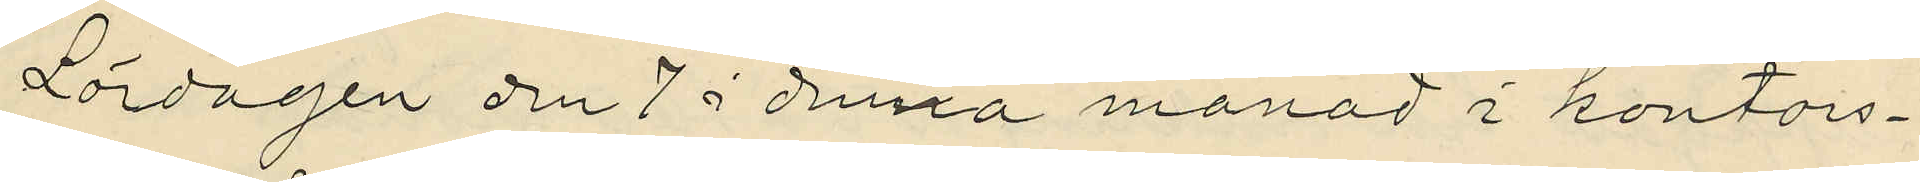Lördagen den 7 i denna månad i kontors¬
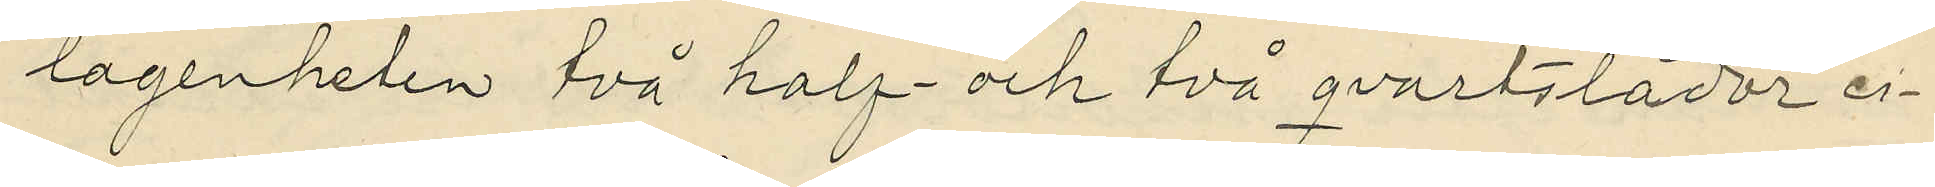lagenheten två half- och två qvartslådor ci¬
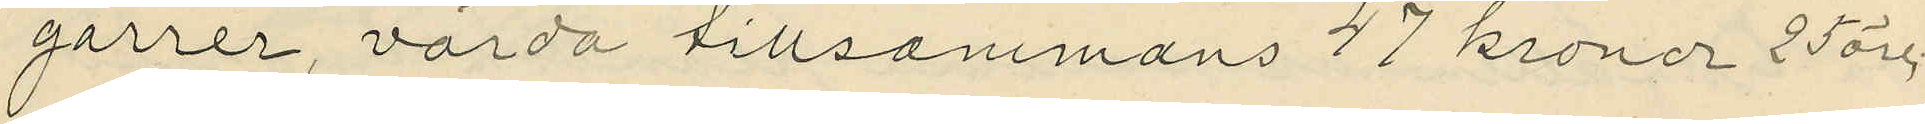garrer, värda tillsammans 47 kronor 25 öre;
